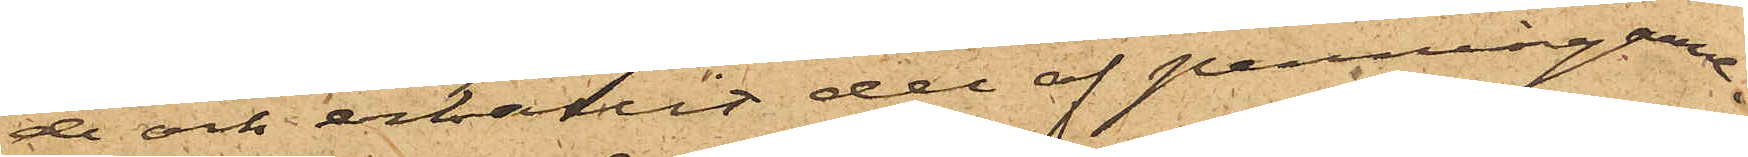de och erhållit del af penningarne.
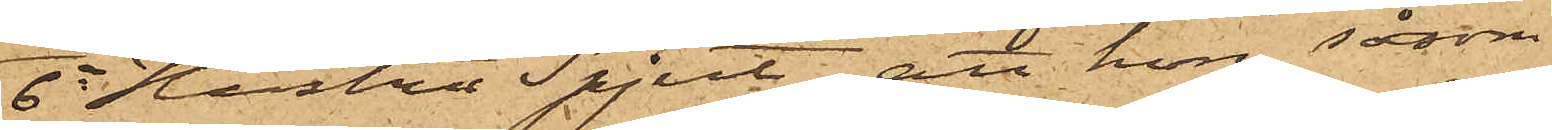6o Hustru Spjut, att hon såsom
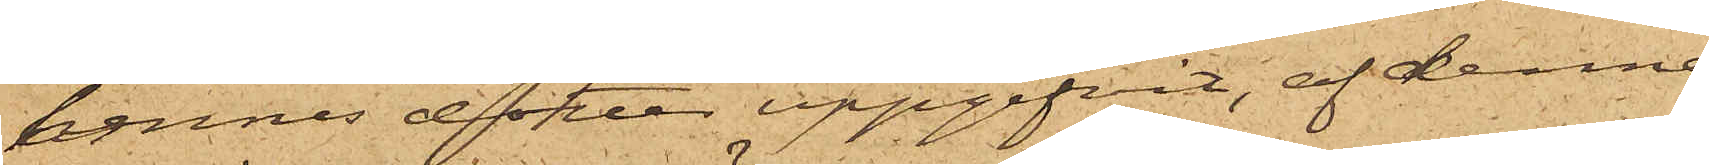hennes dotter uppgifvit, af denna
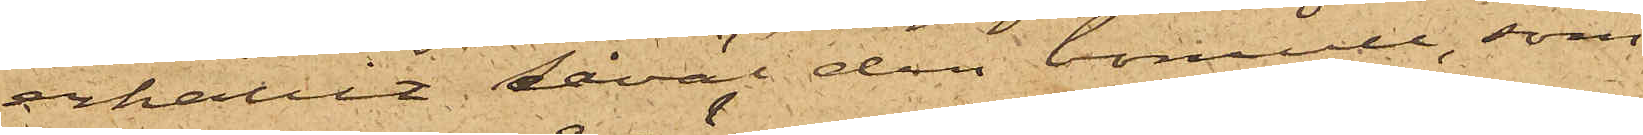erhållit såväl den bomull, som
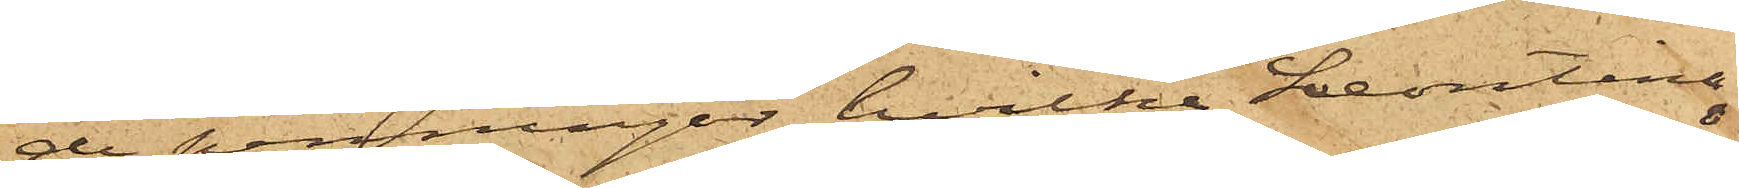de penningar, hvilka Leontina
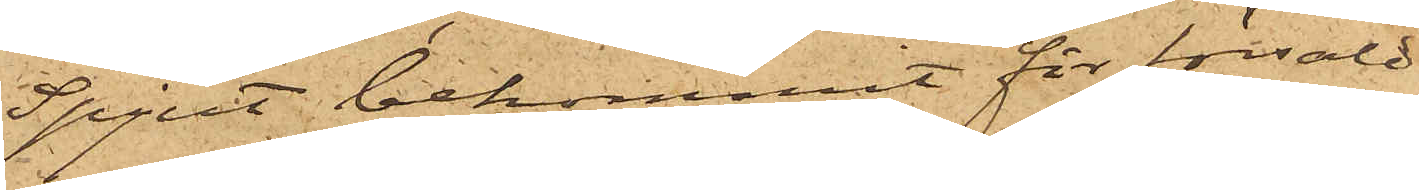Spjut bekommit för försåld
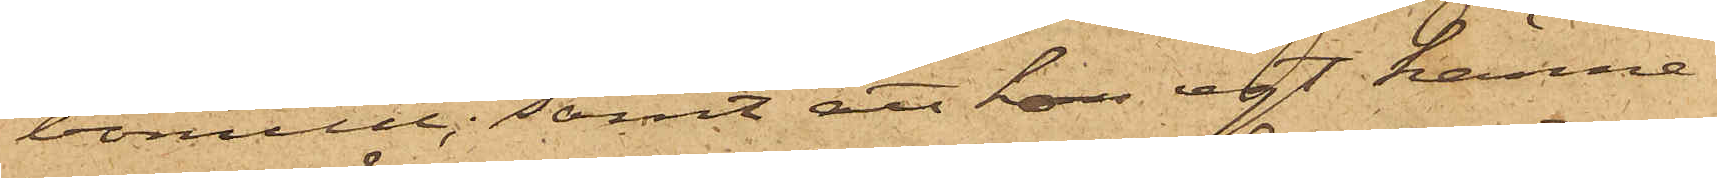bomull; samt att hon egt känne¬
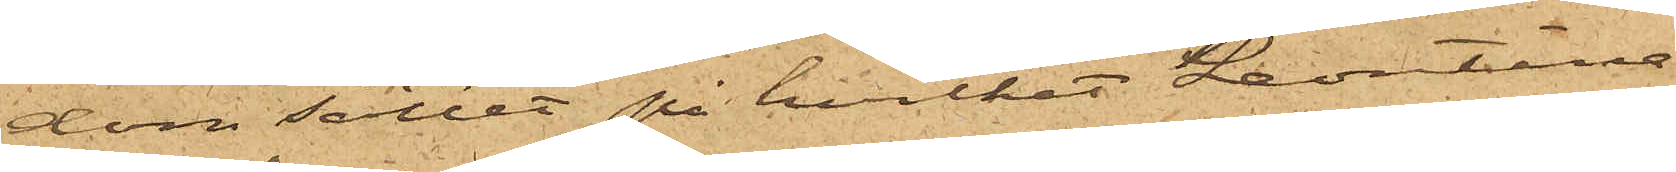dom sättet på hvilket Leontina
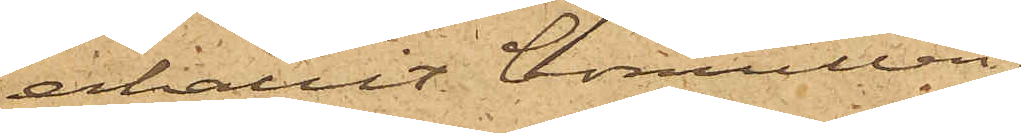erhållit bomullen;
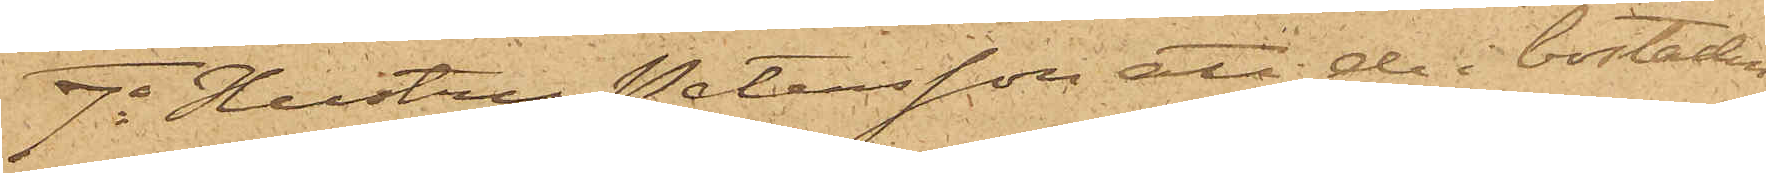7o Hustru Petersson, att de i bostaden
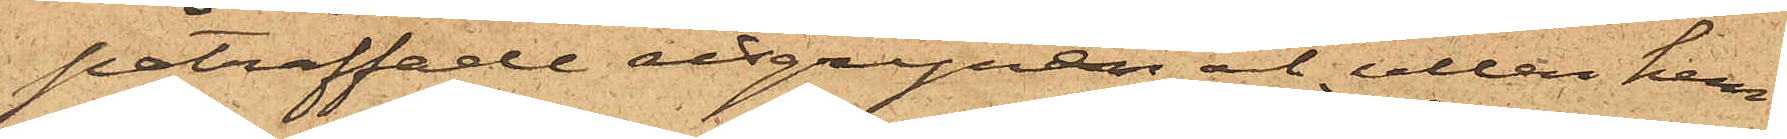påträffade risgrynen och ullen hem¬
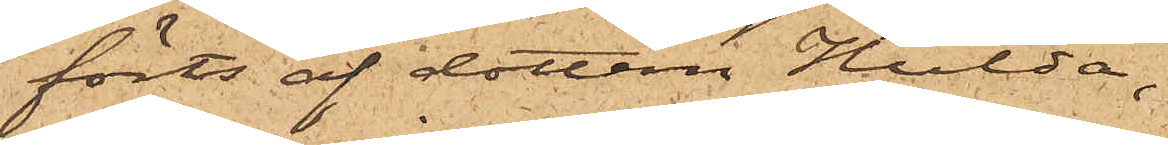förts af dotten Hulda,
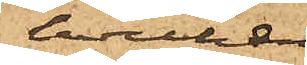hvilken
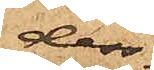dess¬
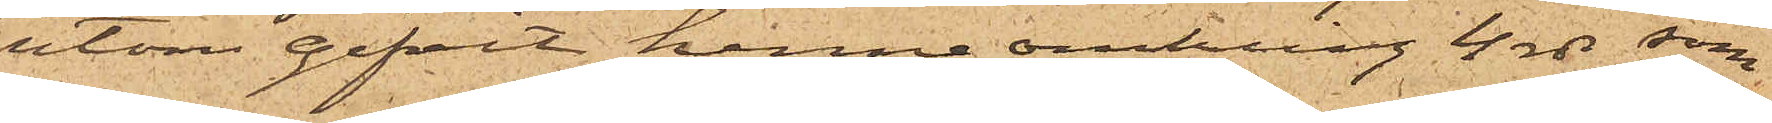utom gifvit henne omkring 4 rdr, som
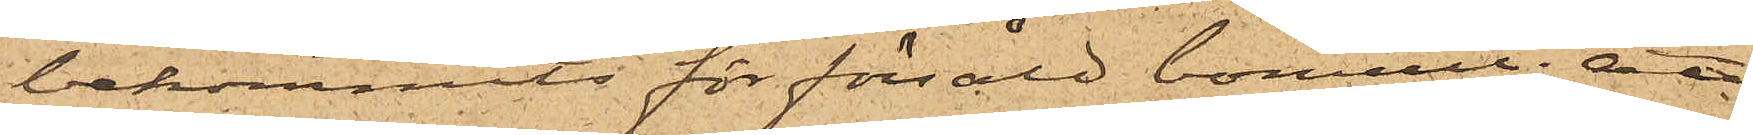bekommits för försåld bomull; att
